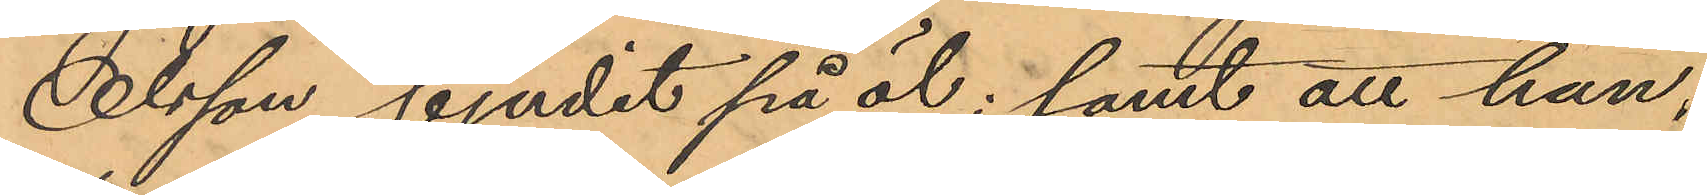Olsson bjudit på öl; samt att han,
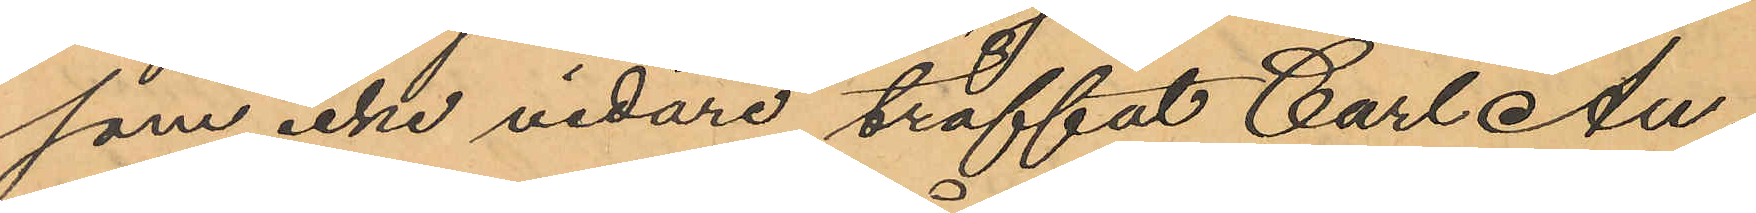som icke vidare träffat Carl An¬
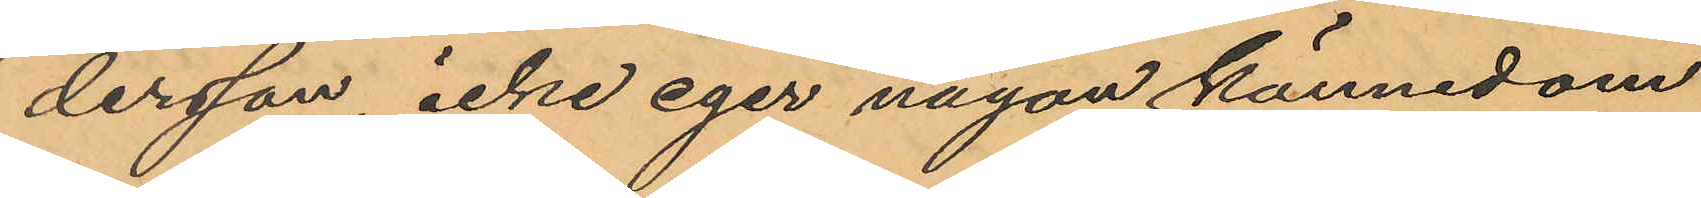dersson icke eger någon kännedom
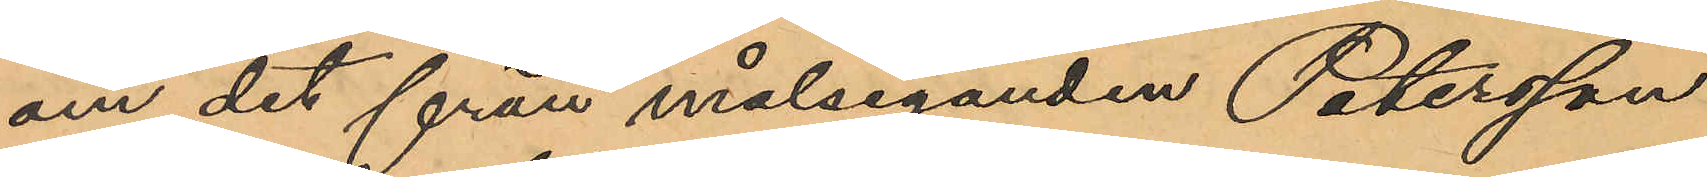om det från målseganden Petersson
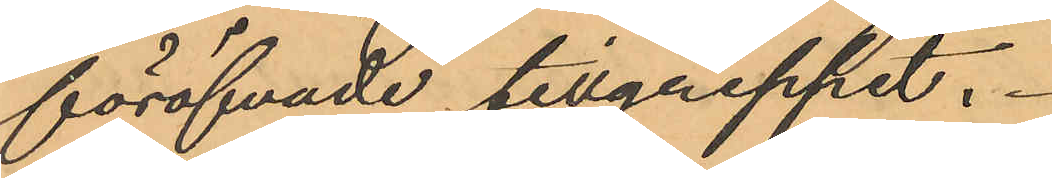föröfvade tillgreppet.
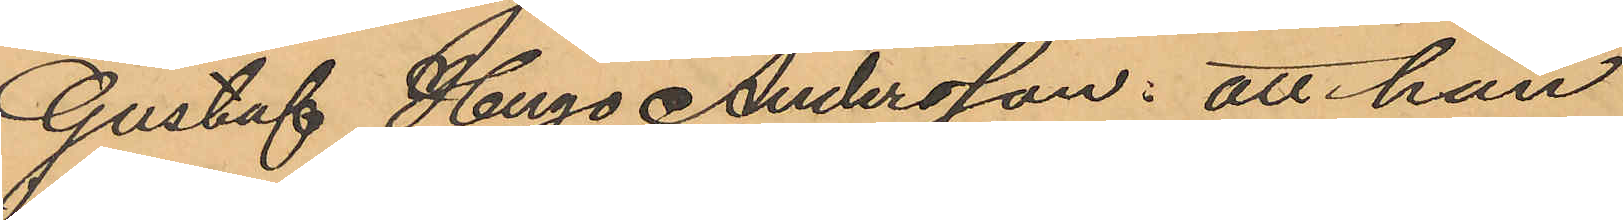Gustaf Hugo Andersson: att han
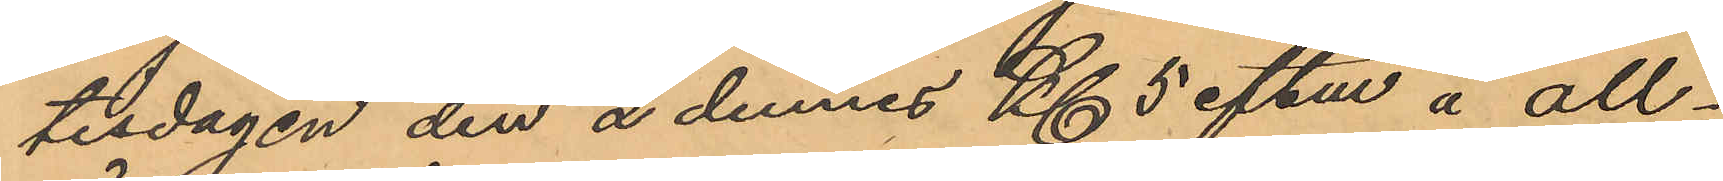tisdagen den 2 dennes Kl 5 eftm å All¬
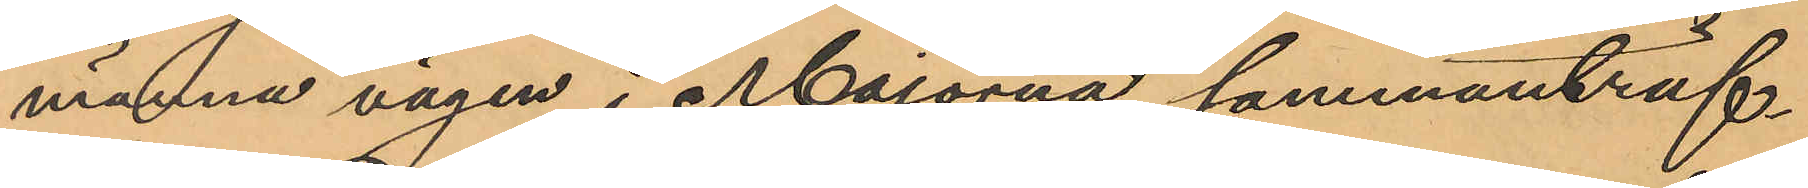männa vägen i Majorna sammanträf¬
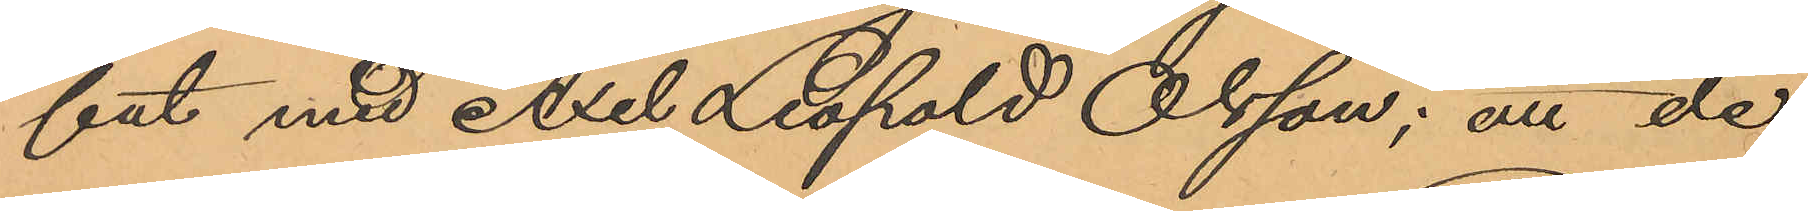fat med Axel Leopold Olsson; att de
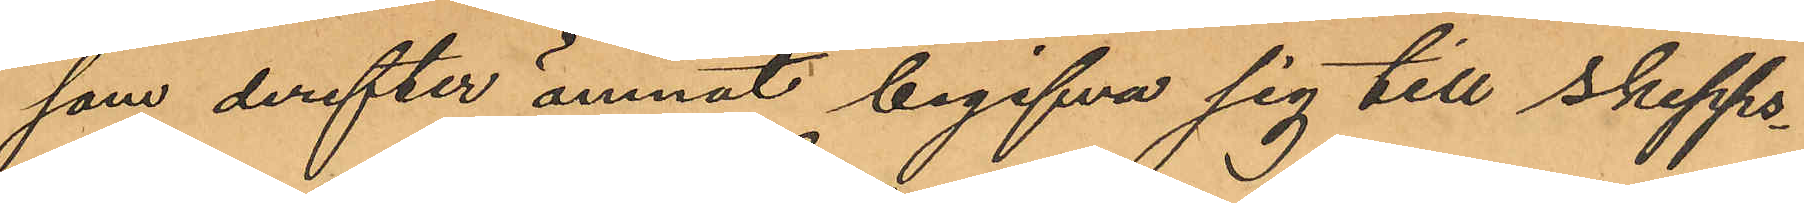som derefter ämnat begifva sig till Skepps¬
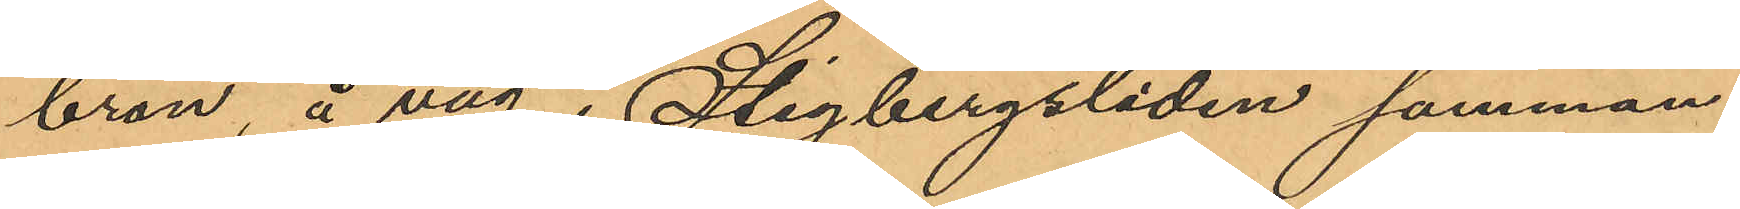bron, å väg i Stigbergsliden samman¬
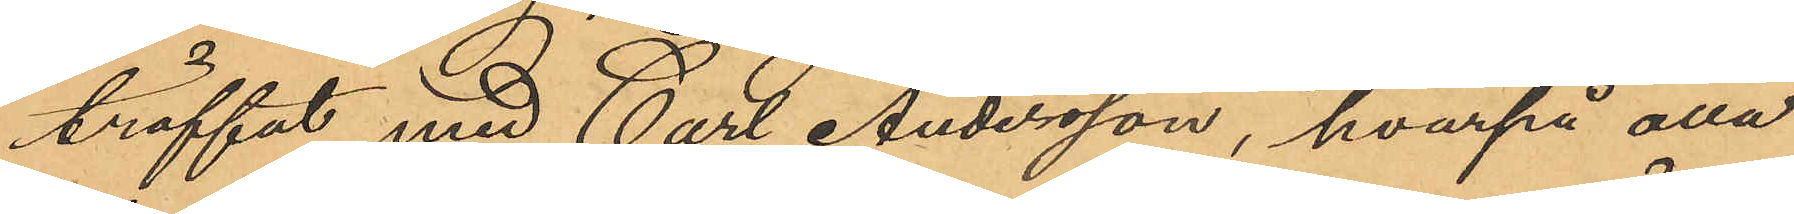träffat med Carl Andersson, hvarpå alla
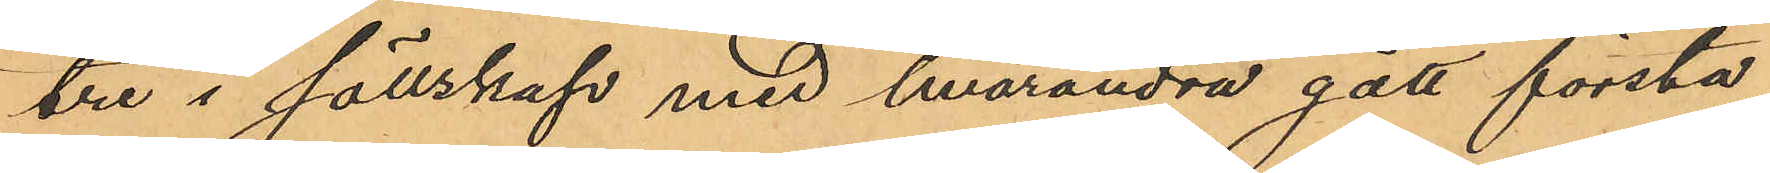tre i sällskap med hvarandra gått första
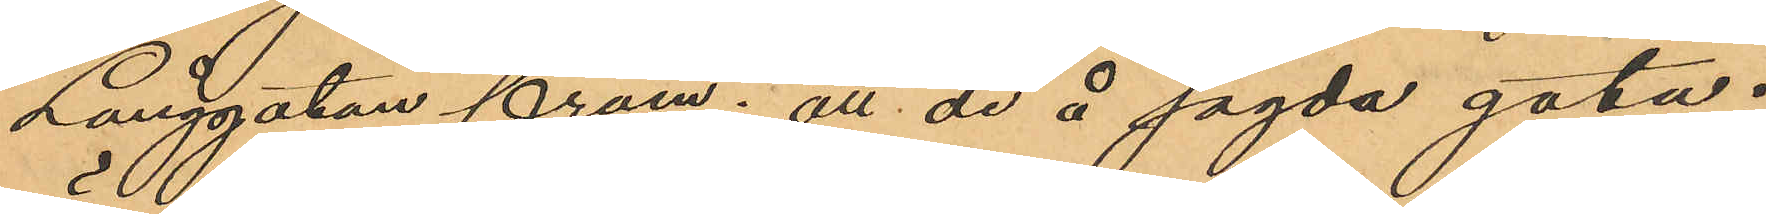Långgatan fram; att de å sagda gata i 
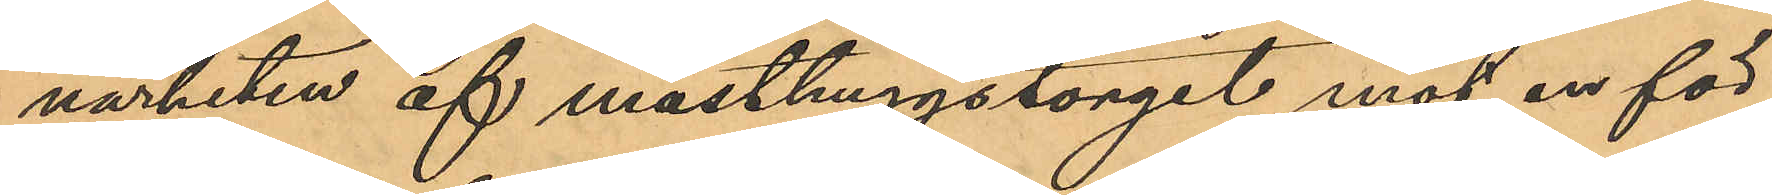närheten af masthuggstorget mött en för
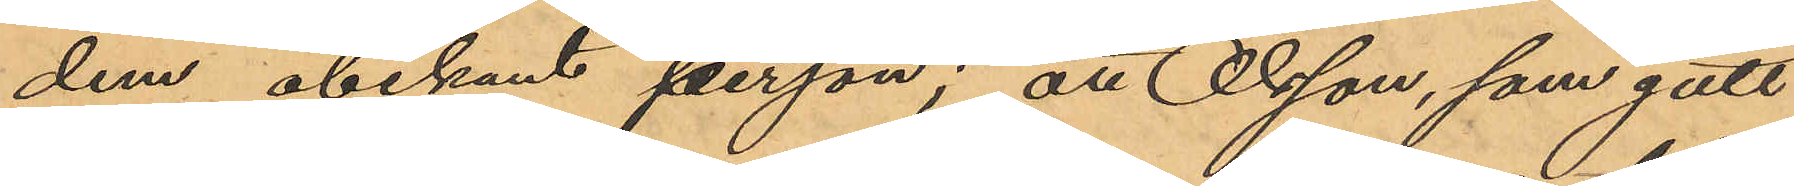dem obekant person; att Olsson, som gått
